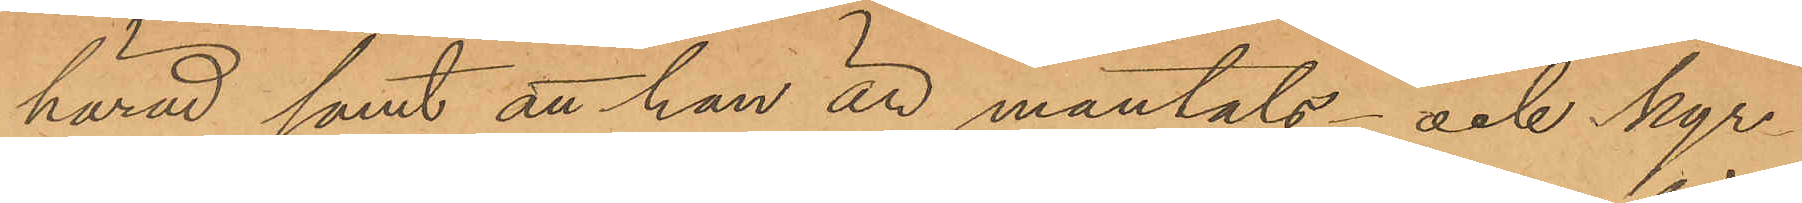härad samt att han är mantals- och kyr¬
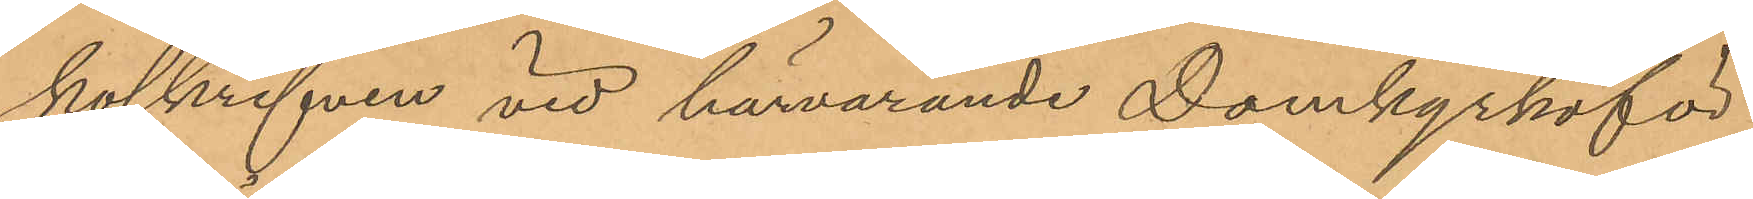koskrifven vid härvarande Domkyrkoför¬
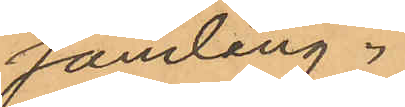samling.
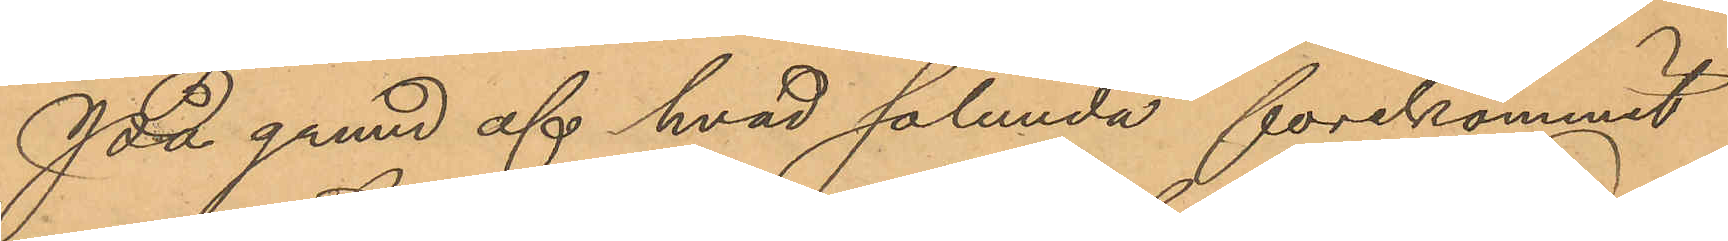På grund af hvad sålunda förekommit
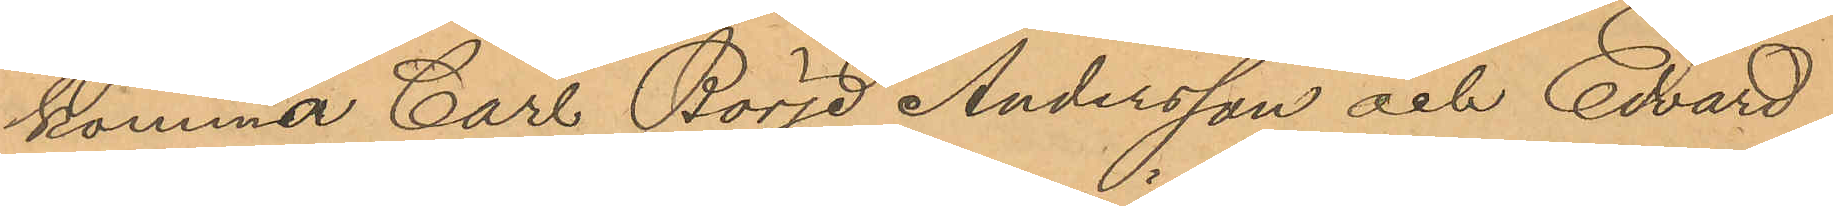kommer Carl Börje Andersson och Edvard
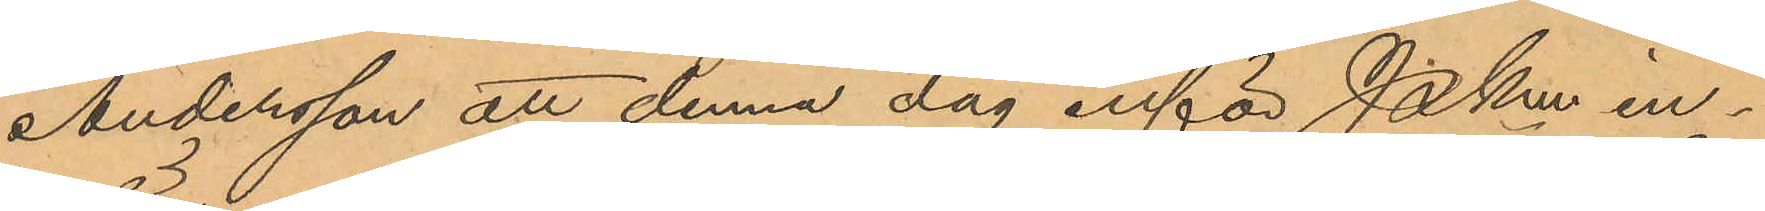Andersson att denna dag inför Pkmn in¬
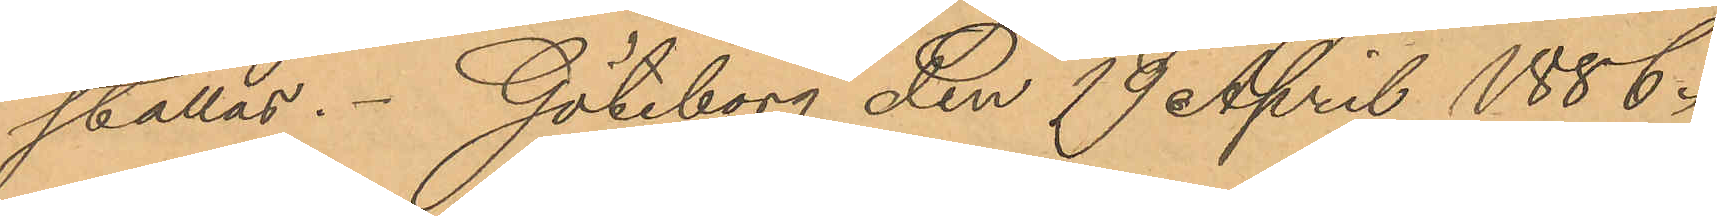ställas. Göteborg den 19 April 1886.
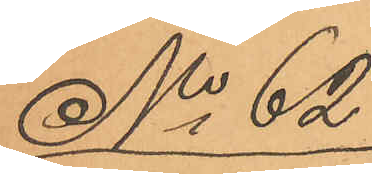No 62
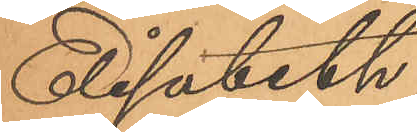Elisabeth
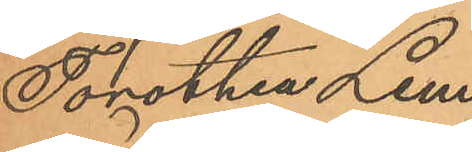Dorothea Lem¬
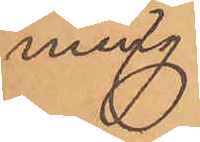ming.
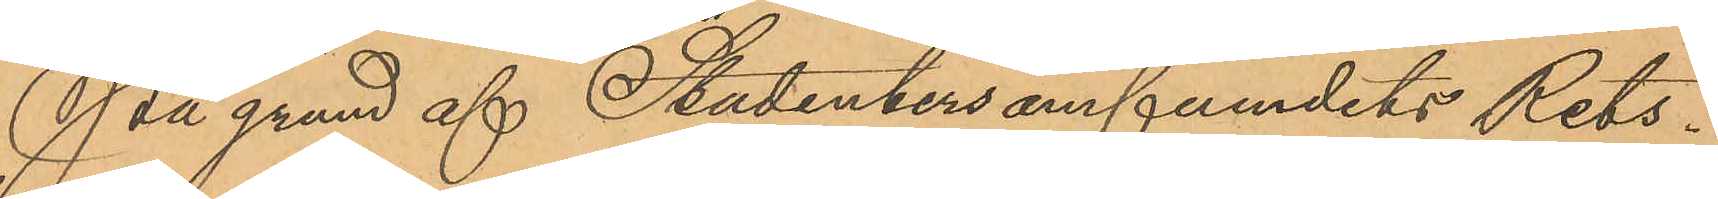På grund af Studentersamfundets Rets¬
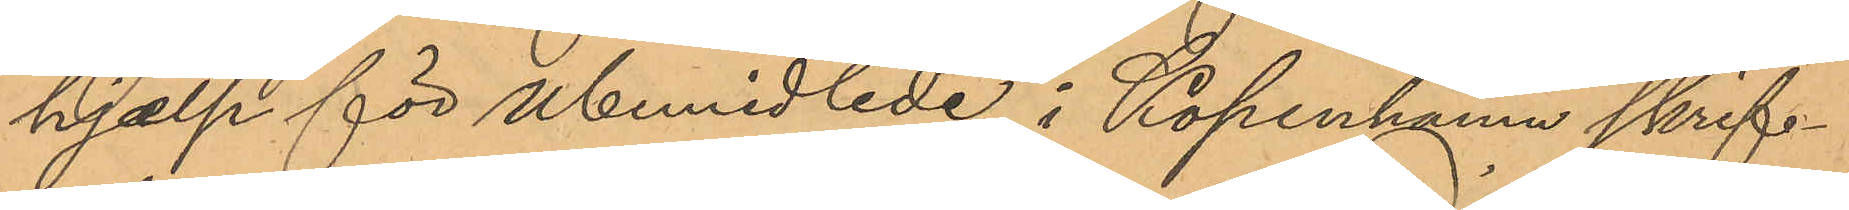hjælp för Ubemidlede i Köpenhamn skrif¬
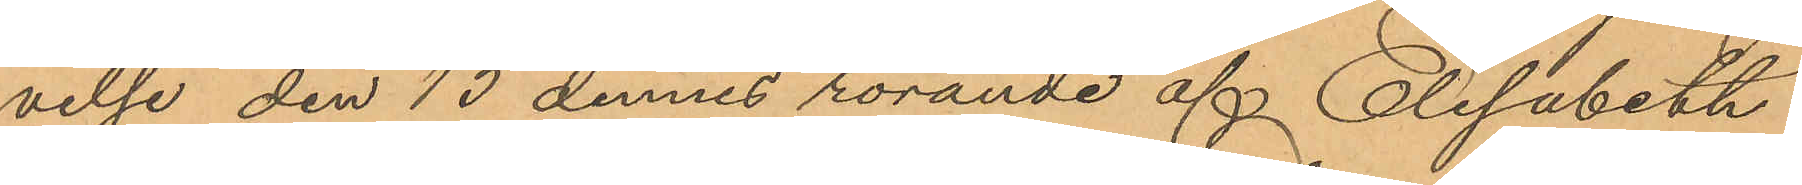velse den 13 dennes rörande af Elisabeth
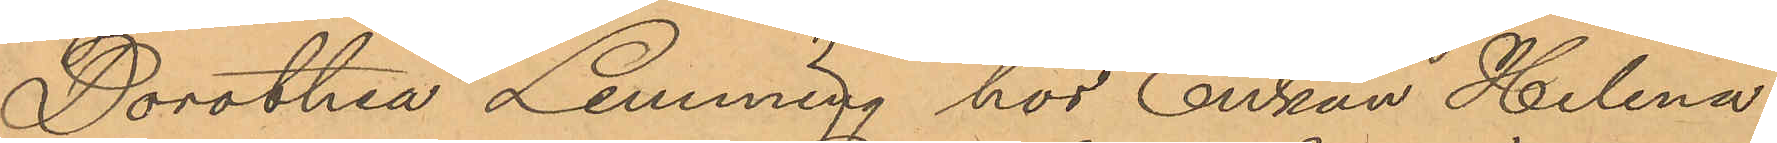Dorothea Lemming hos Enkan Helena
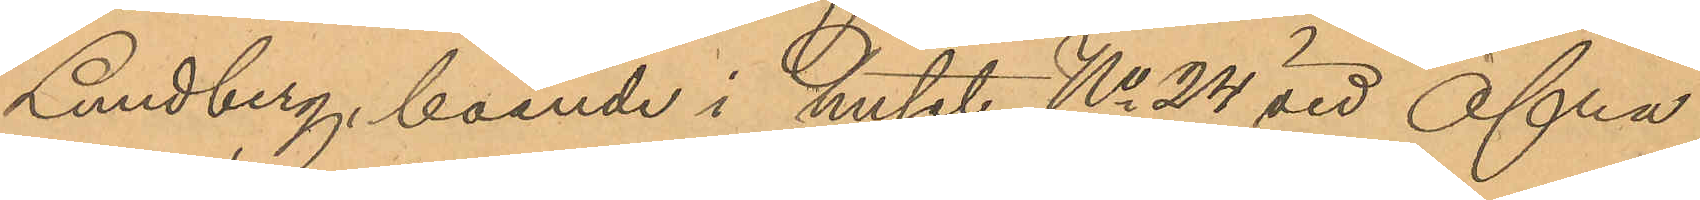Lundberg, boende i huset No 24 vid Öfra
